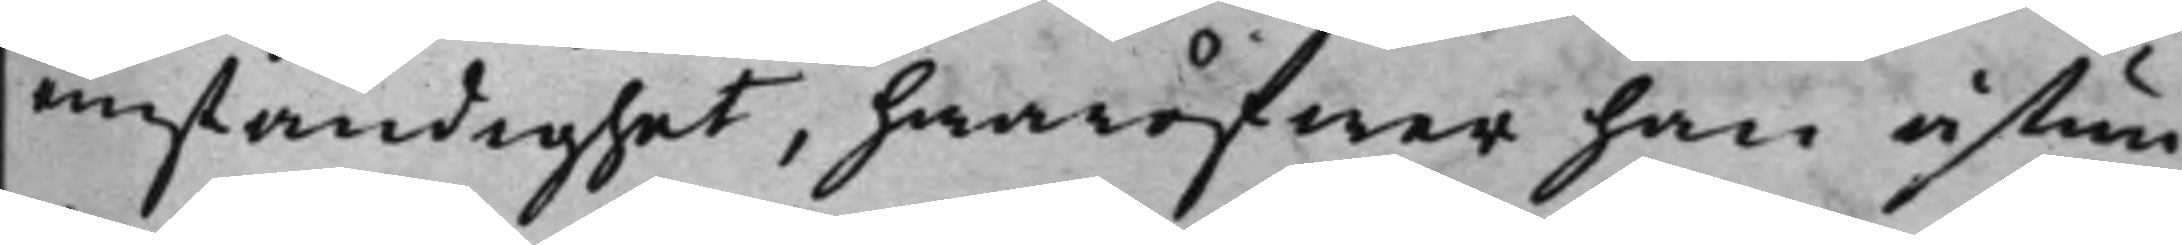omständighet, hwaröfwer han åstun¬
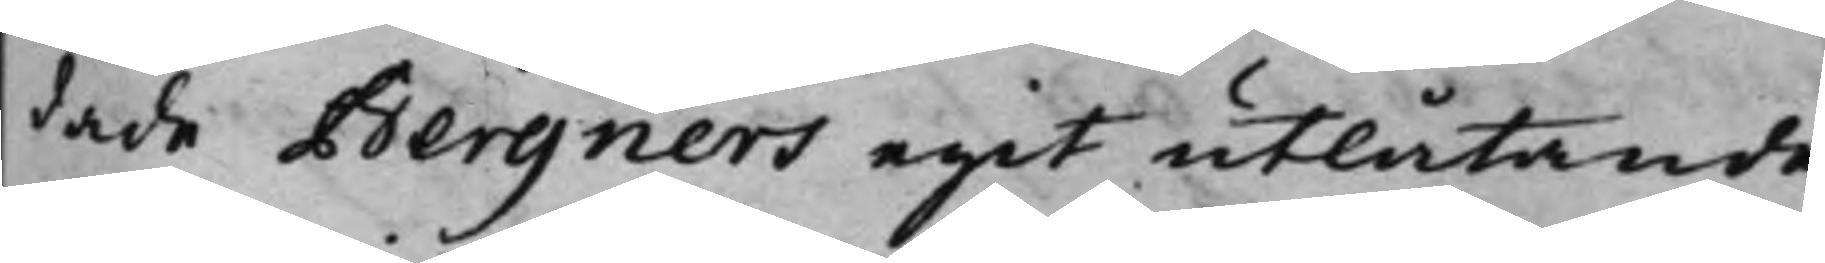dade Bergners egit utlåtande.
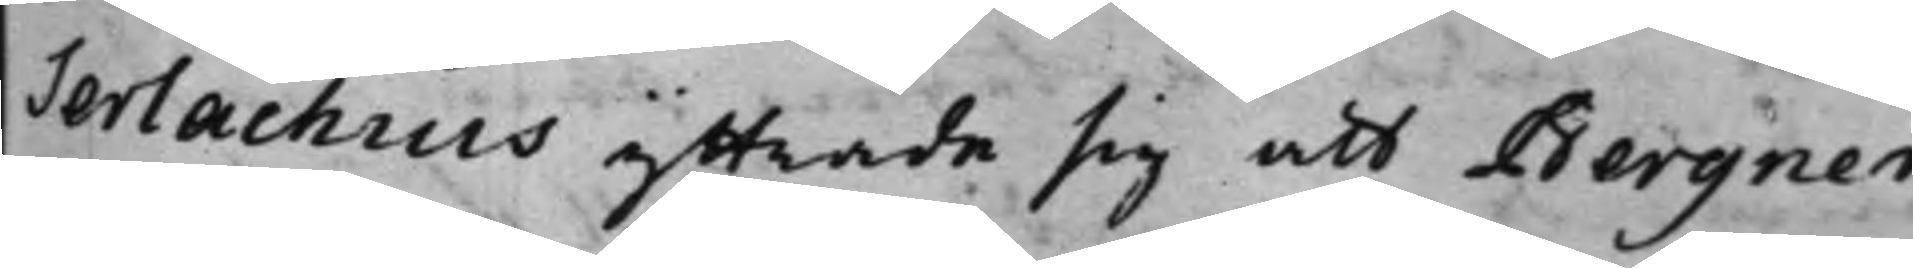Serlachius yttrade sig att Bergner
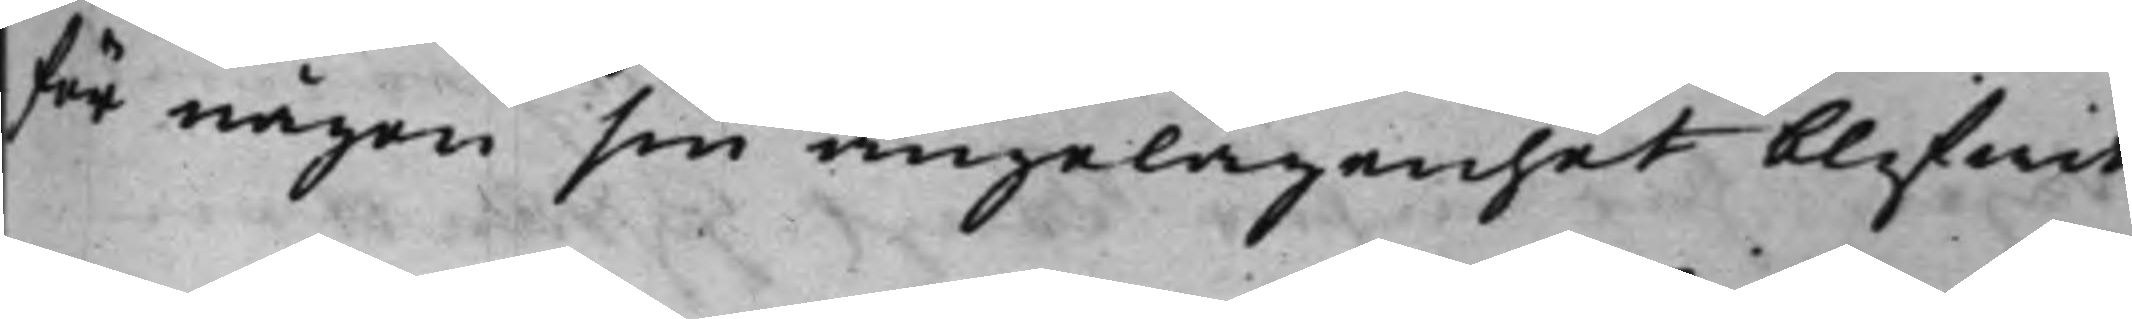för någon sin angelägenhet blifwit
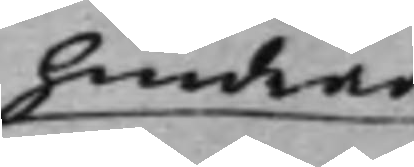hindrad
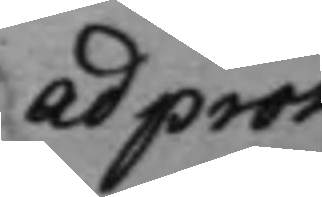ad prot.
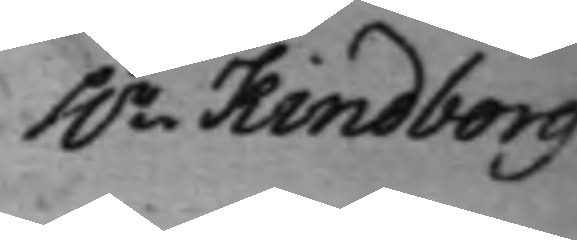h.r Kindborg 
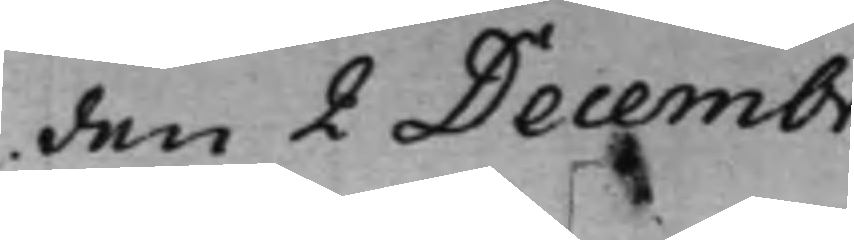den 2 Decembr.
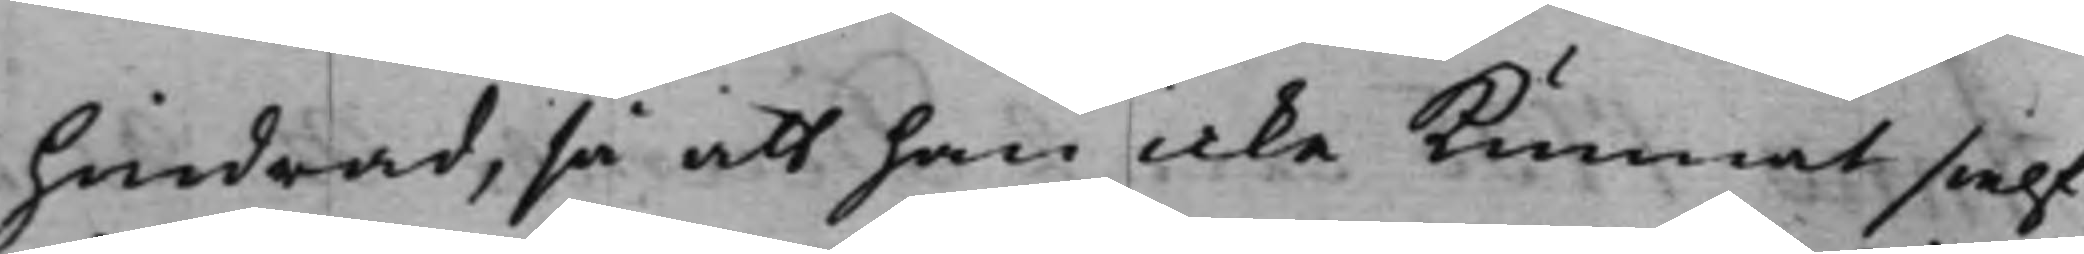hindrad, så att han icke kunnat sielf
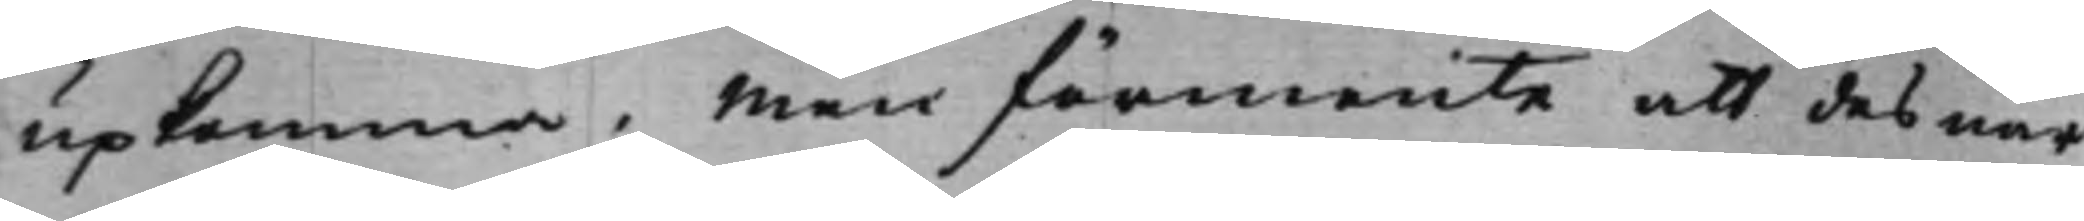upkomma. Men förmente att des när¬
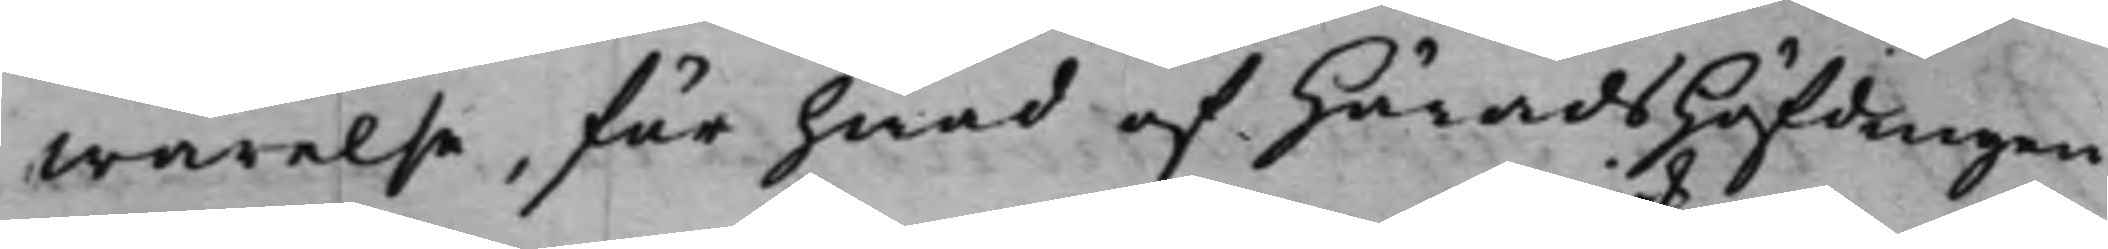warelse, för hwad af HäradsHöfdingen
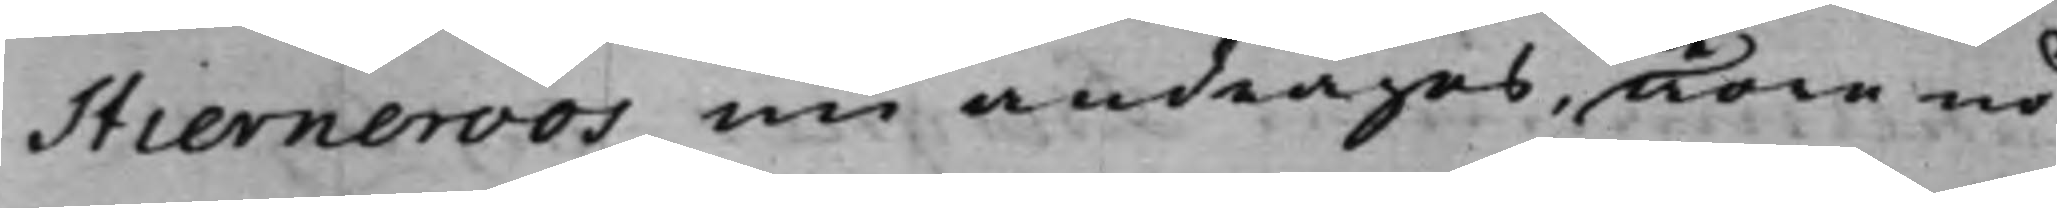Stierneroos nu andrages, wore nö¬
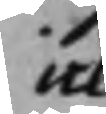icke
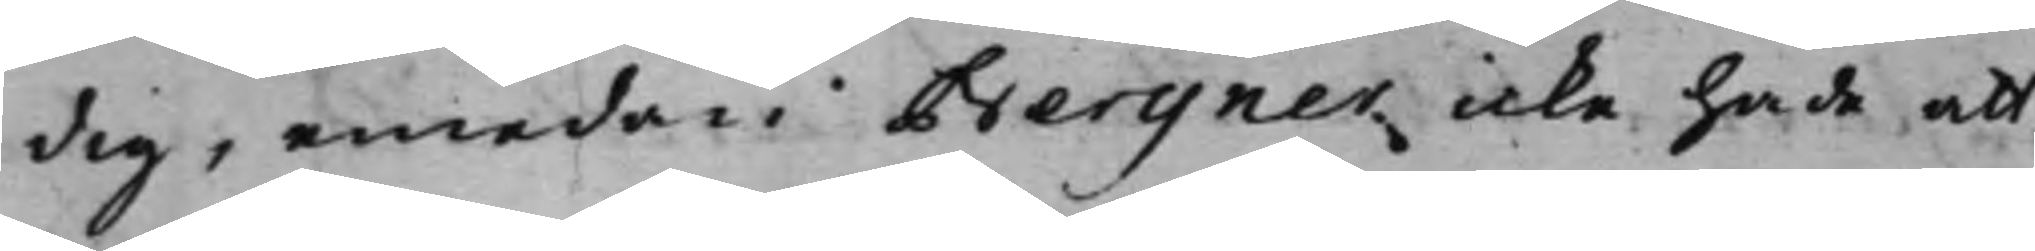dig, emedan Bergner icke hade att
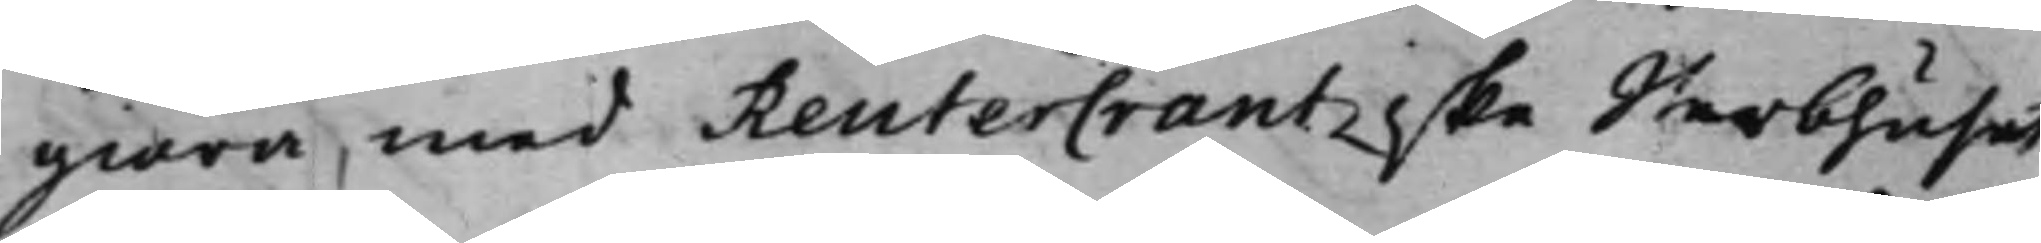giöra med ReuterCrantzske Sterbhuset,
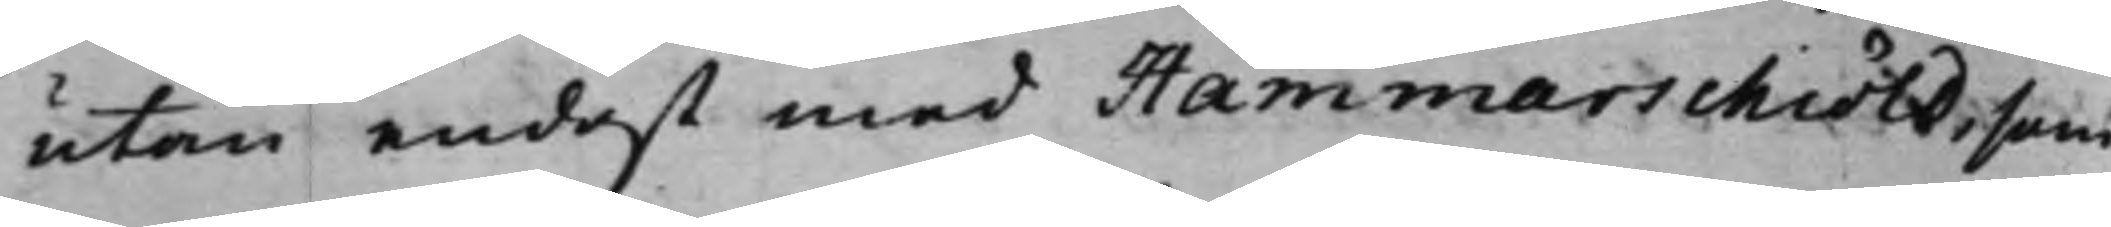utan endast med Hammarschiöld, som
